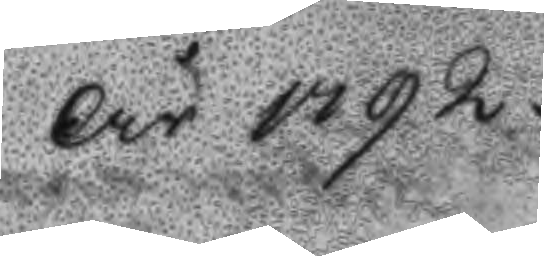År 1792.
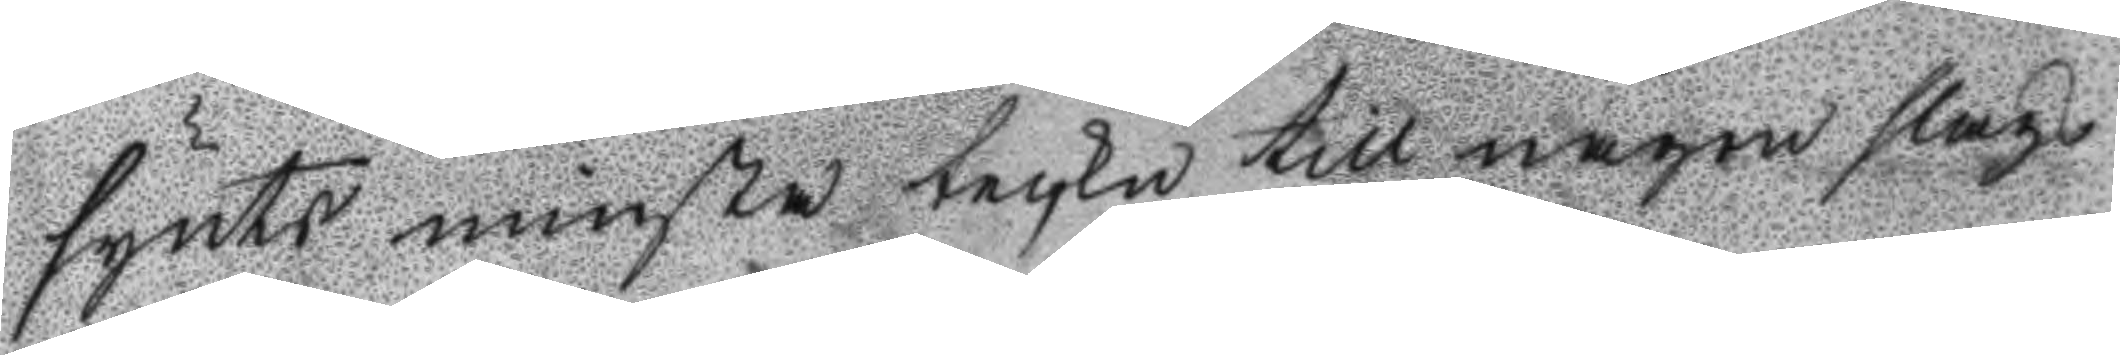syntd minsta teckn till någon slags 
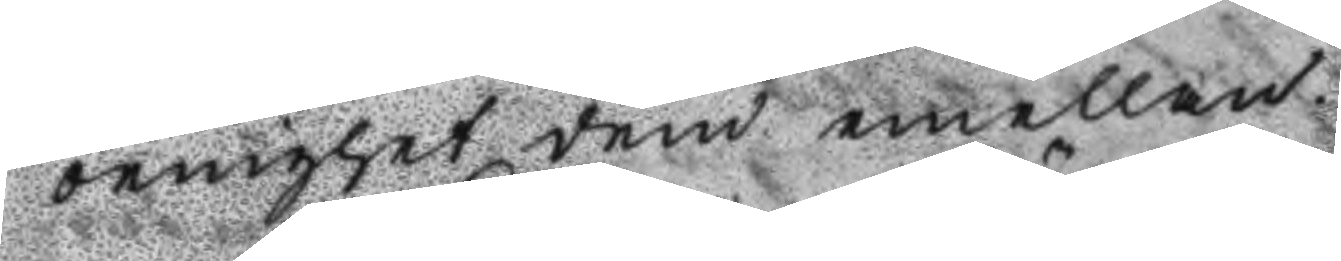oeninghet dem emellan.
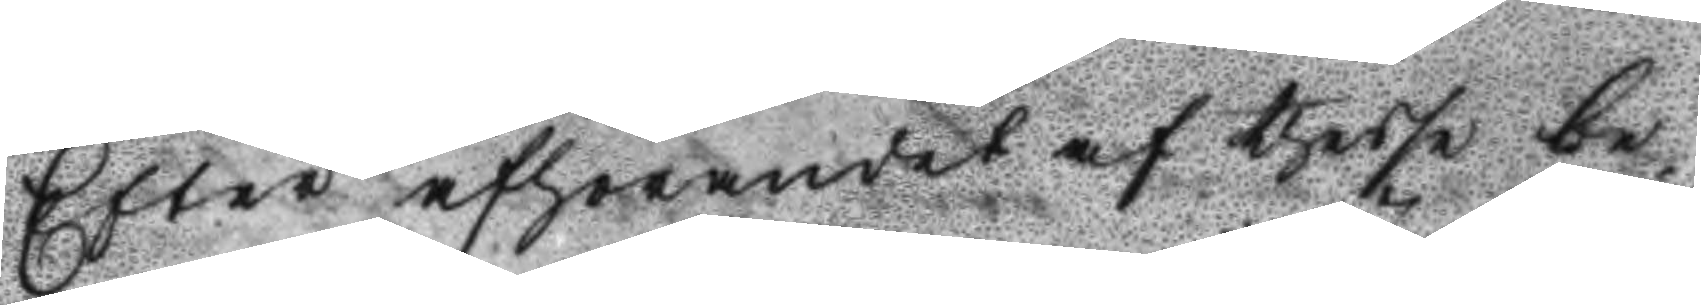Efter afhörandet af thesse be¬
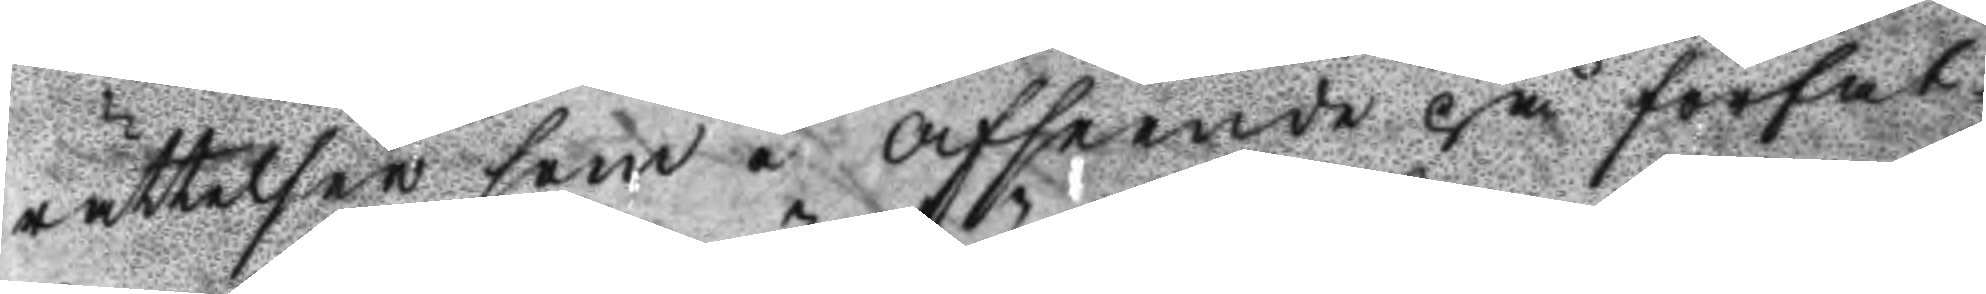rättelser som i afseende på förfat¬
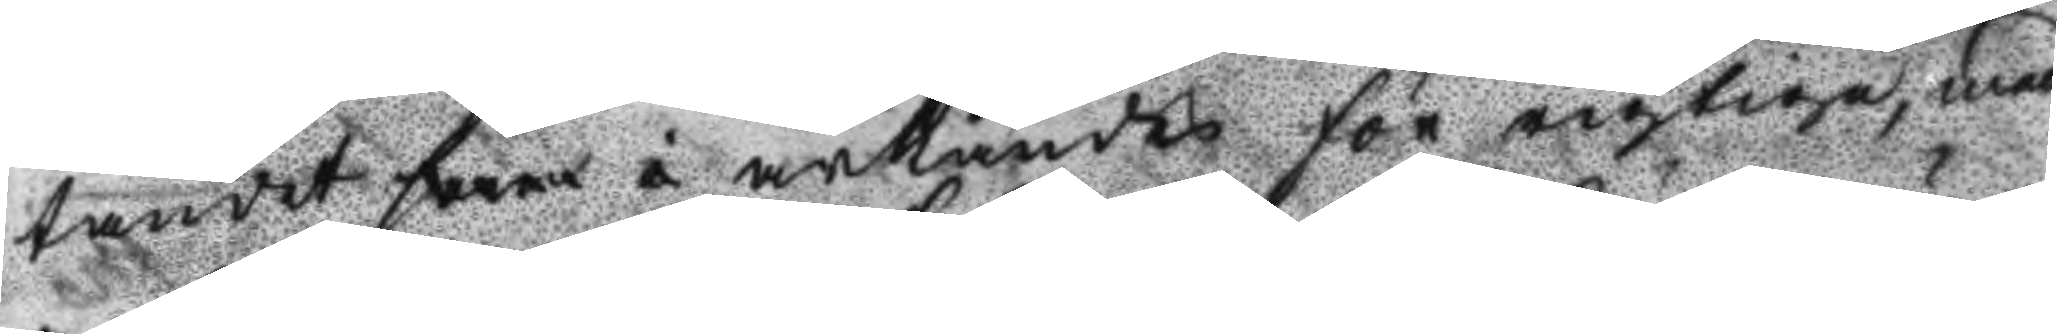tandet som å ärkändes för rigtiga, med
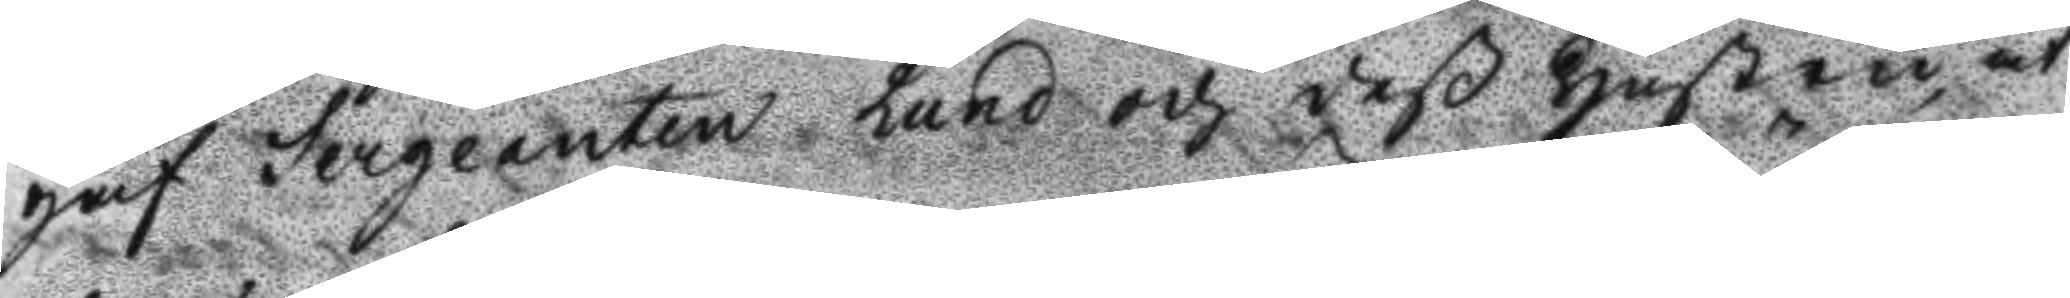gaf Sergenaten Lund och deß hustru, at
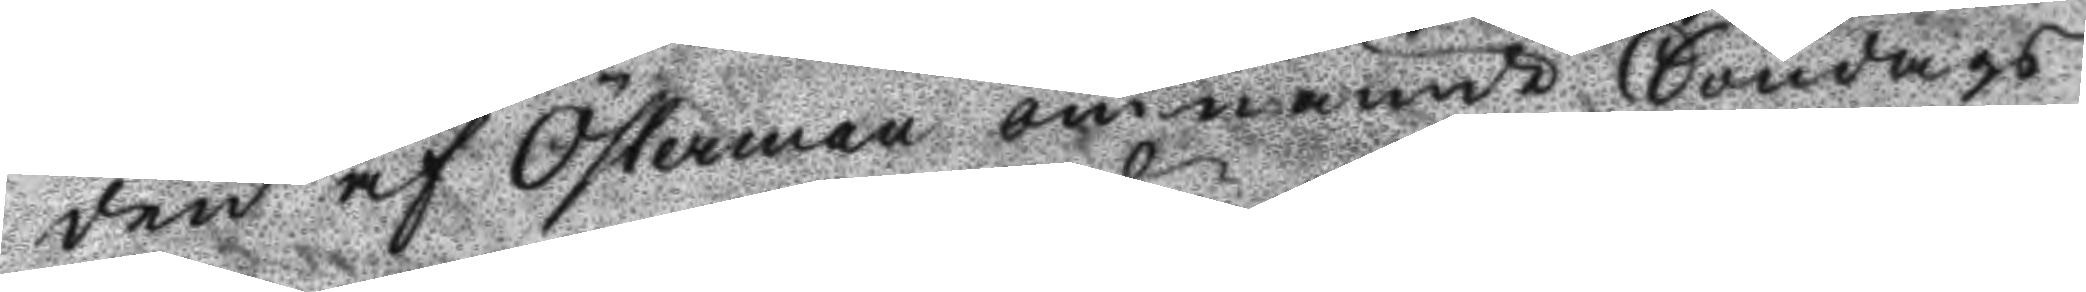den af Österman omnämde Söndags
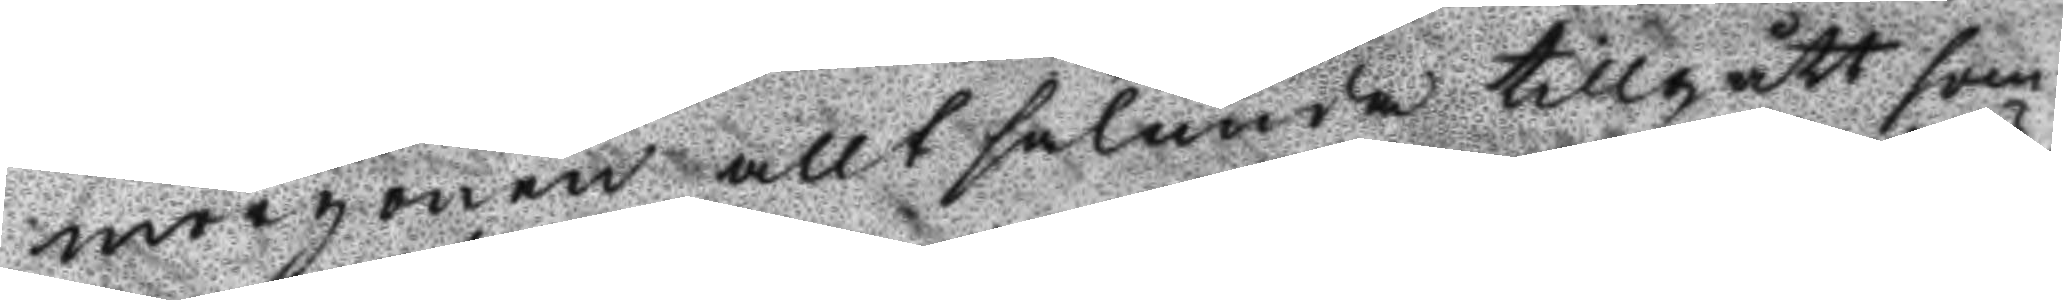morgonen allt sålunda tillgått som
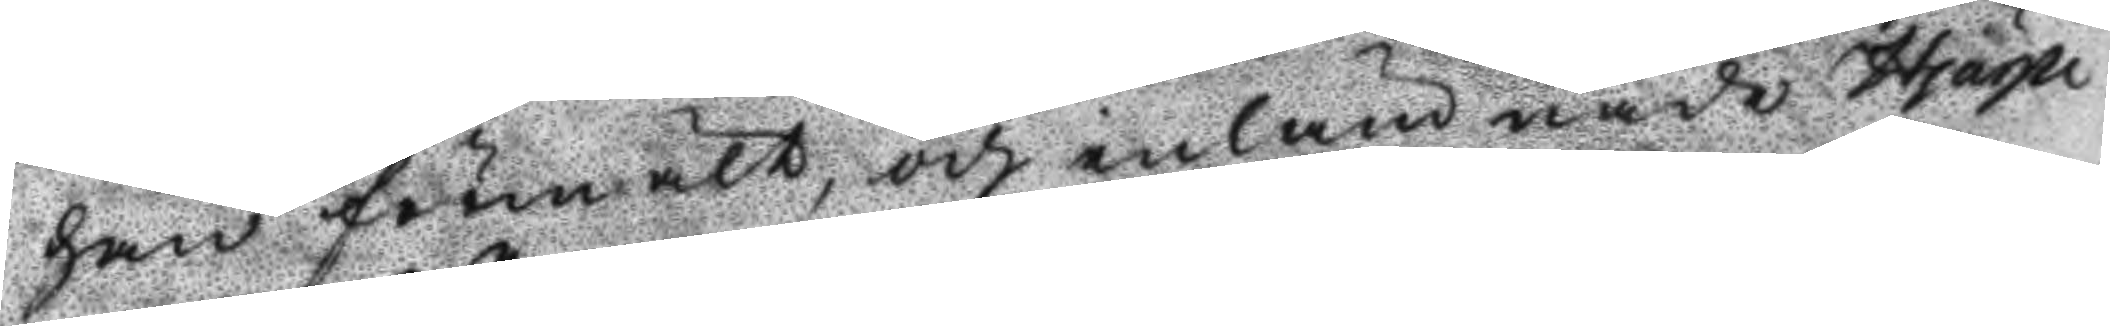han förmält, och inlämnade Hjärpe
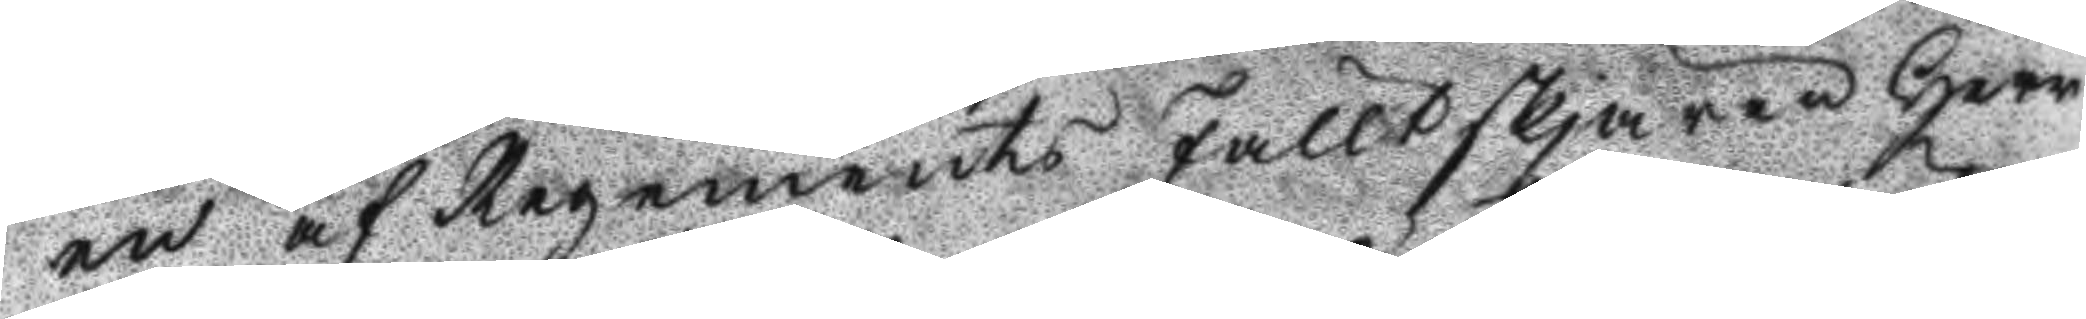en af Regements Fälltskjären Herr
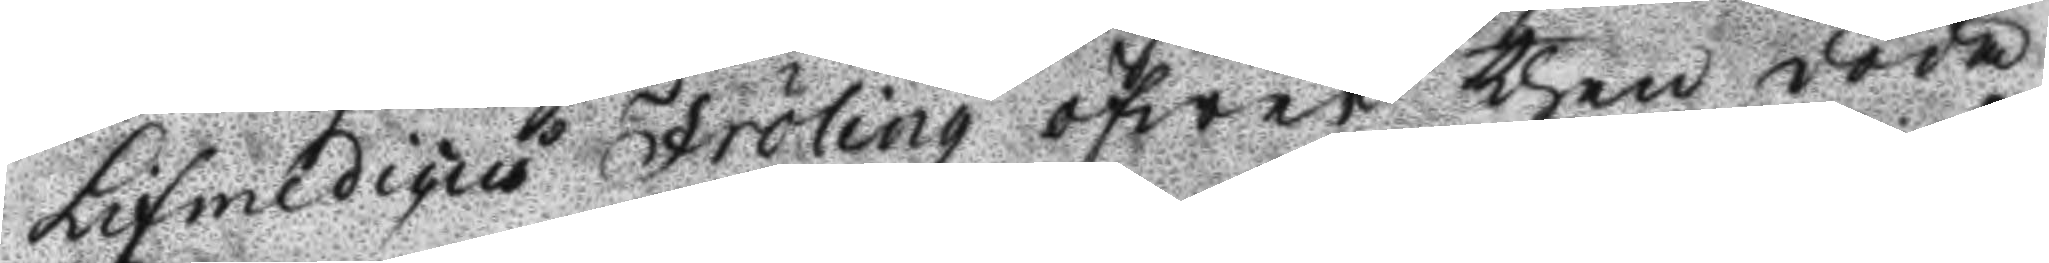Lifmedicus Fröling öfwer then döda
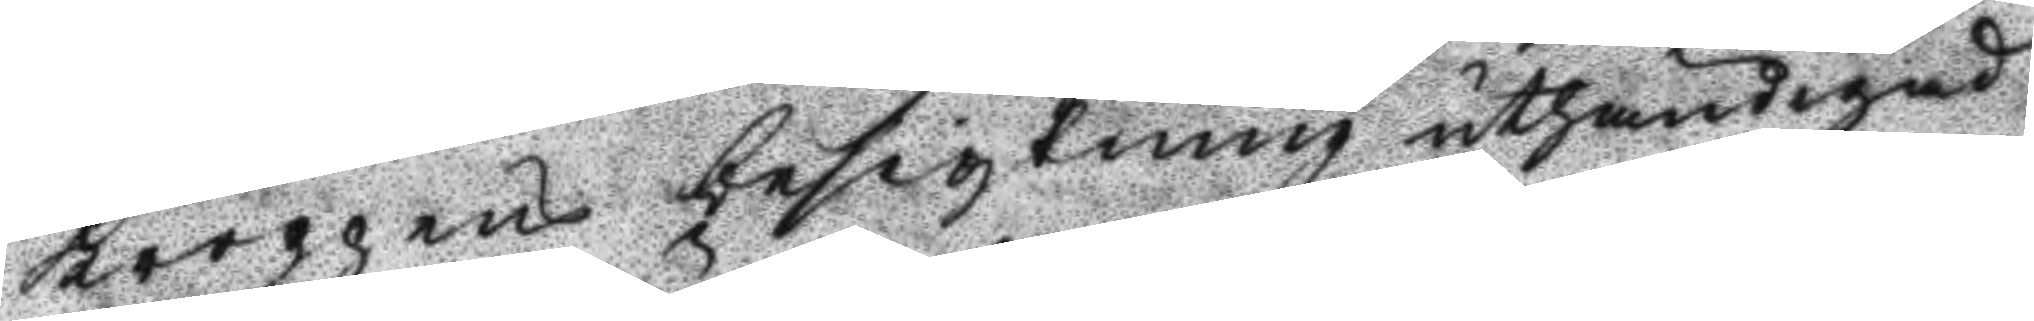kroppens besigtning uthändigad
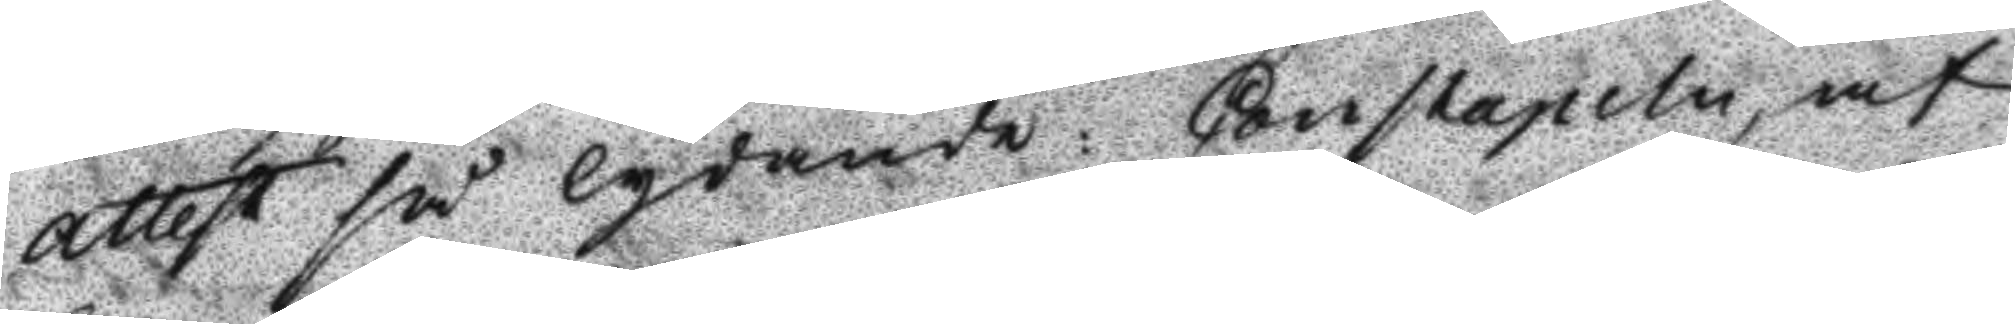attest så lydande: Constapeln af
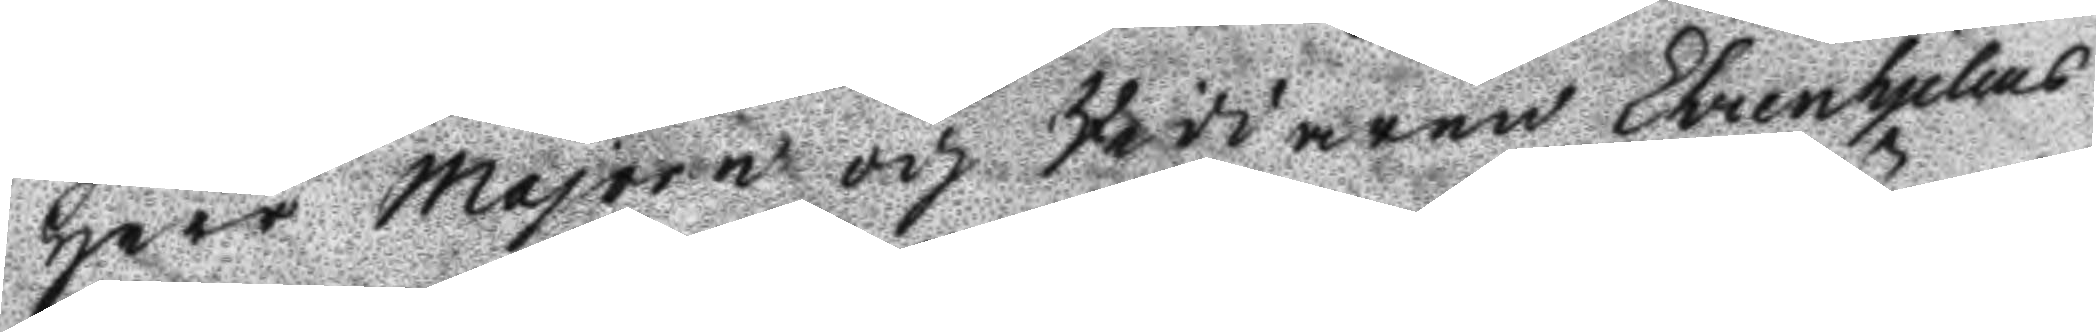Herr Majoren och Riddaren Ehrenhjelms
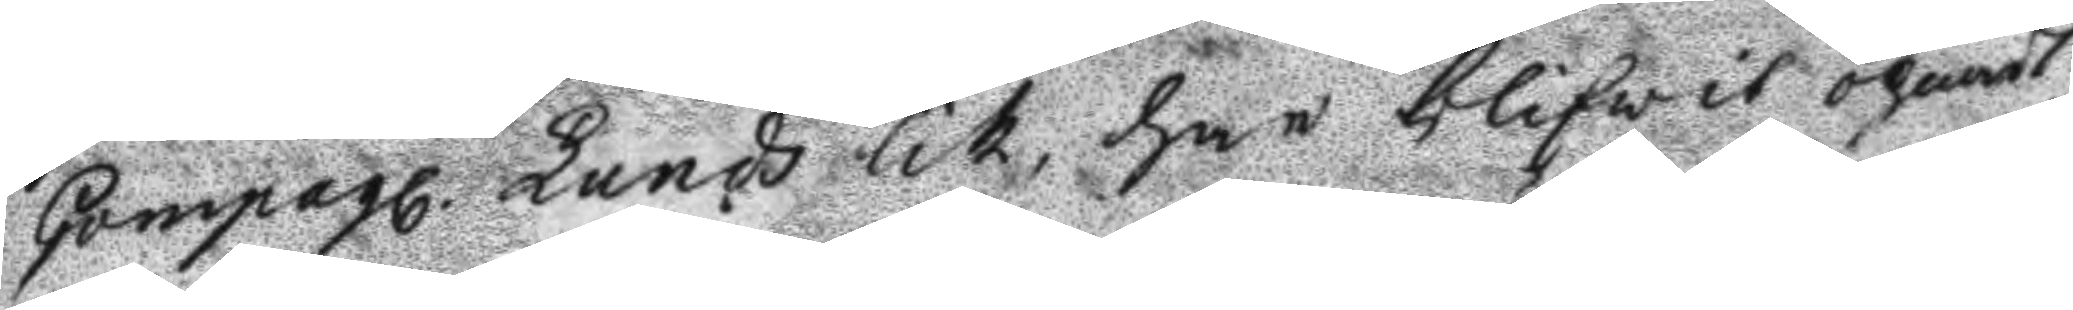Compagl. Lunds lik, har blifwit öpnadt
